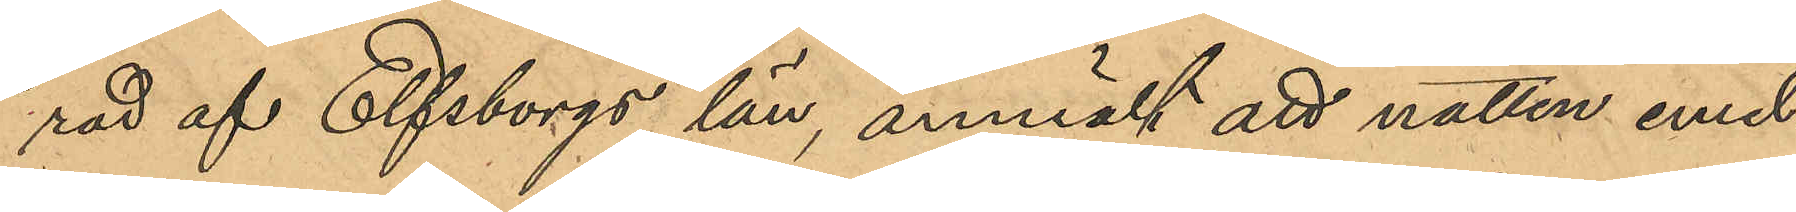rad af Elfsborgs län, anmält att natten emel¬
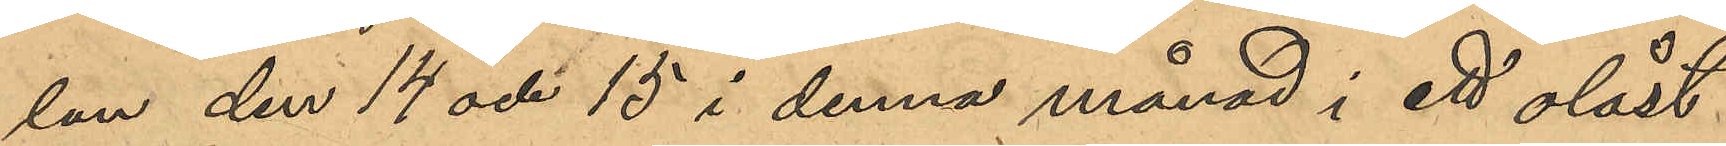lan den 14 och 15 i denna månad i ett olåst
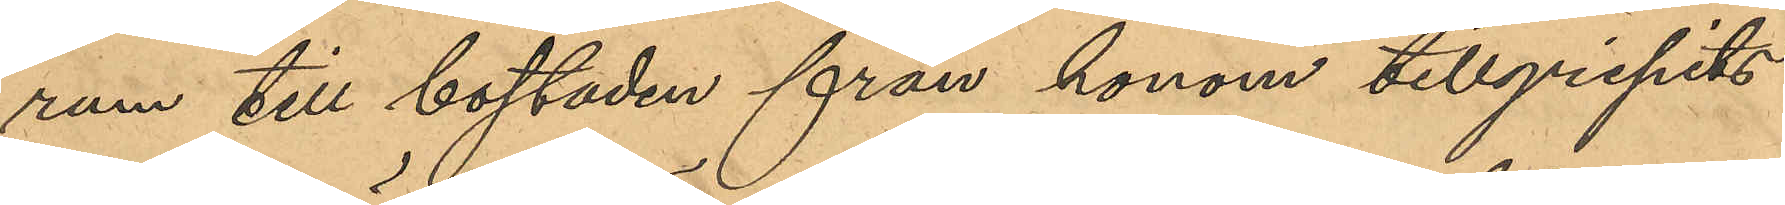rum till bostaden från honom tillgripits
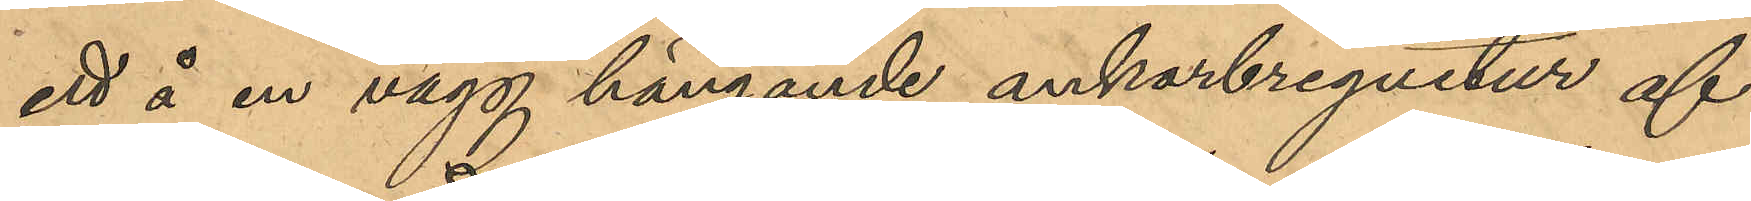ett å en vägg hängande ankarbreguitur af
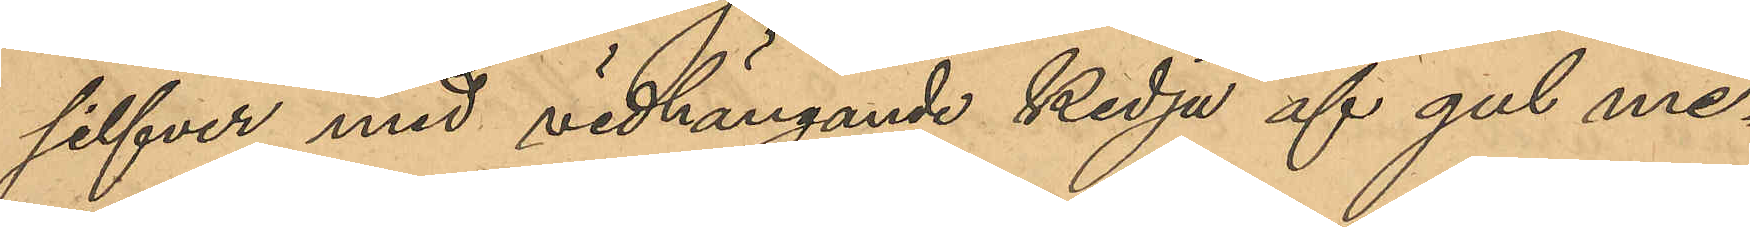silfver med vidhängande kedja af gul me¬
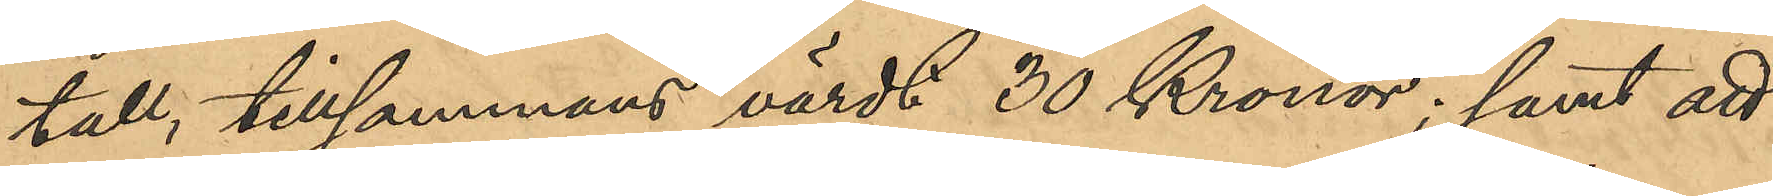tall, tillsammans värdt 30 Kronor; samt att
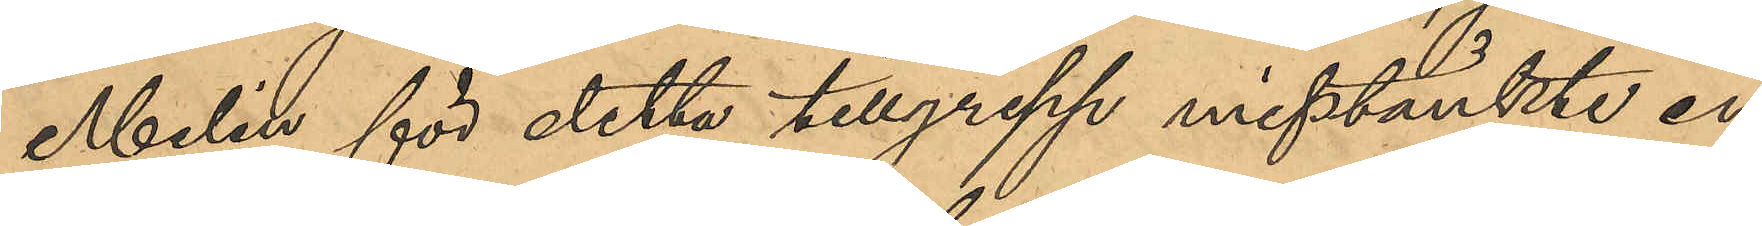Melin för detta tillgrepp misstänkte en
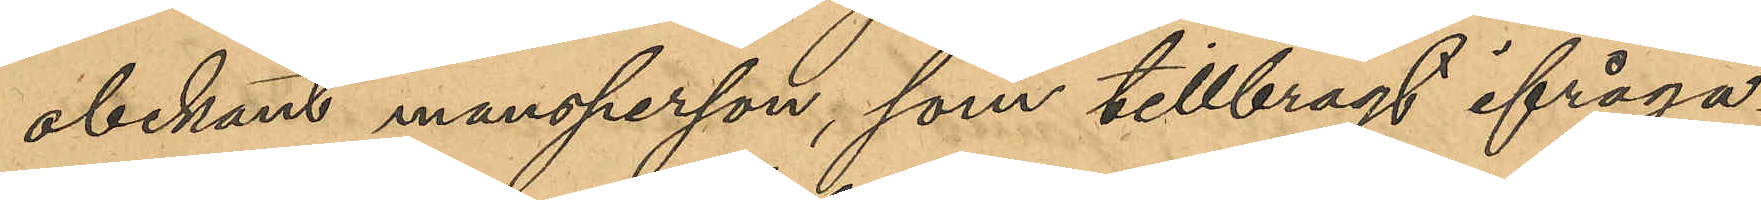obekant mansperson, som tillbragt ifråga¬
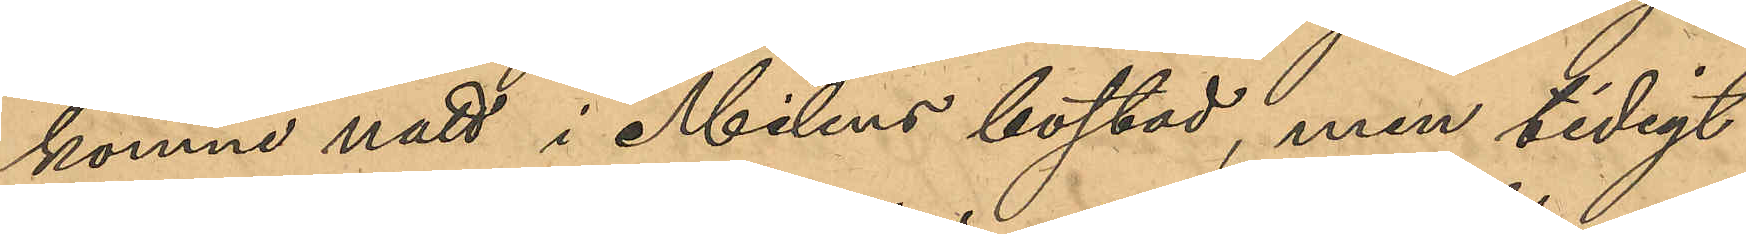komne natt i Melins bostad, men tidigt
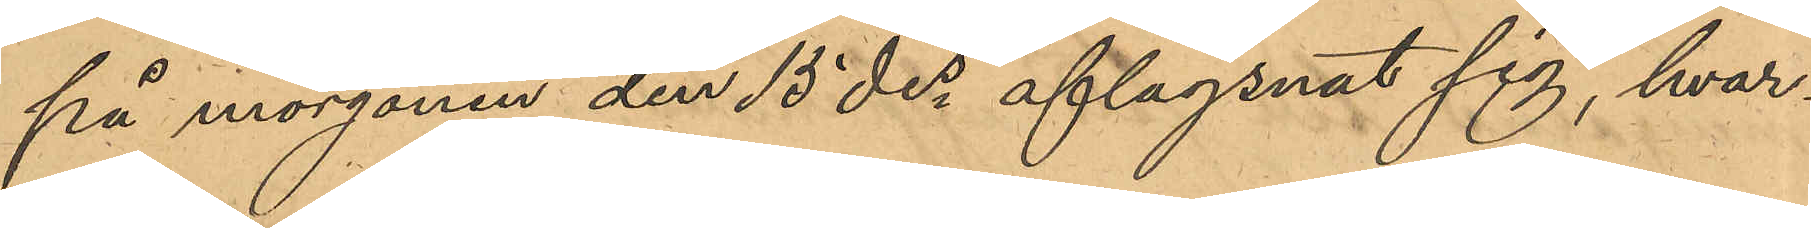på morgonen den 15 des aflägsnat sig, hvar¬
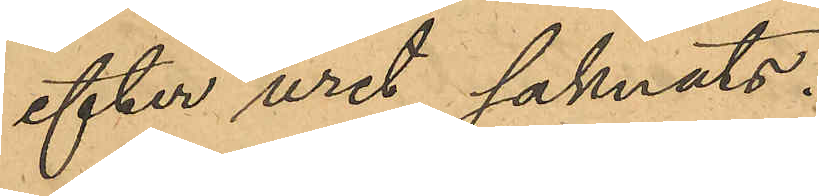efter uret saknats.
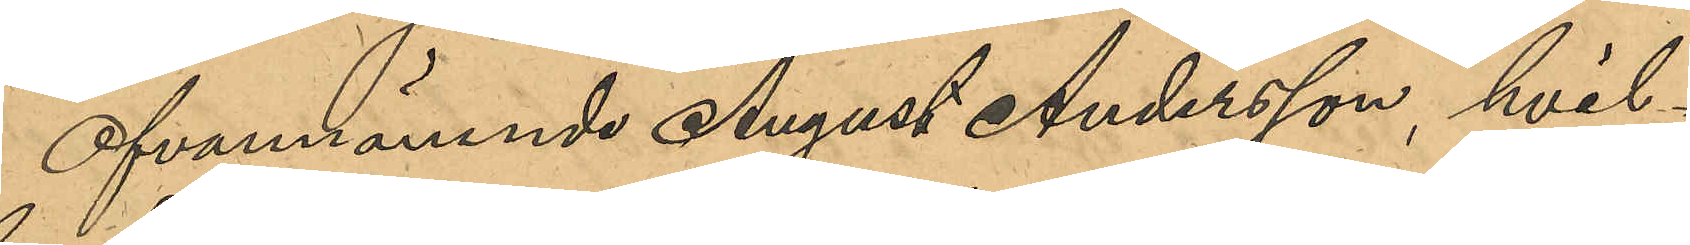Ofvannämnde August Andersson, hvil¬
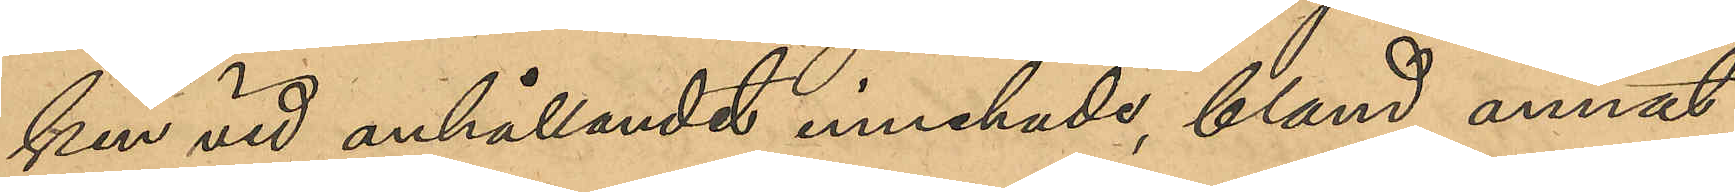ken vid anhållandet innehade, bland annat,
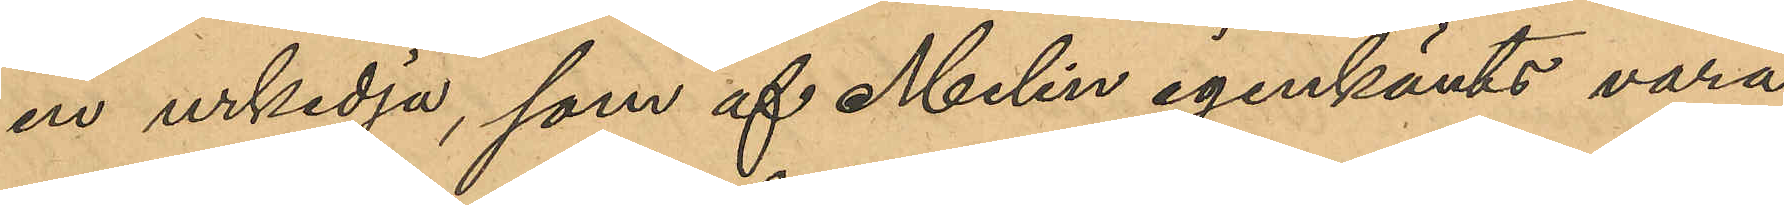en urkedja, som af Melin igenkänts vara
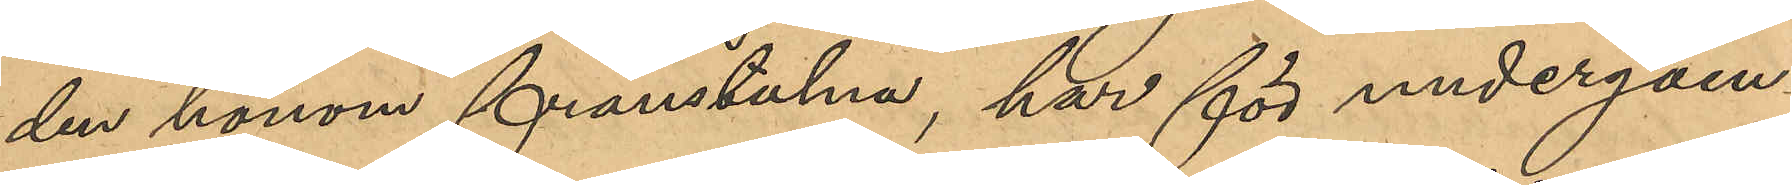den honom frånstulna, har för undergåen¬
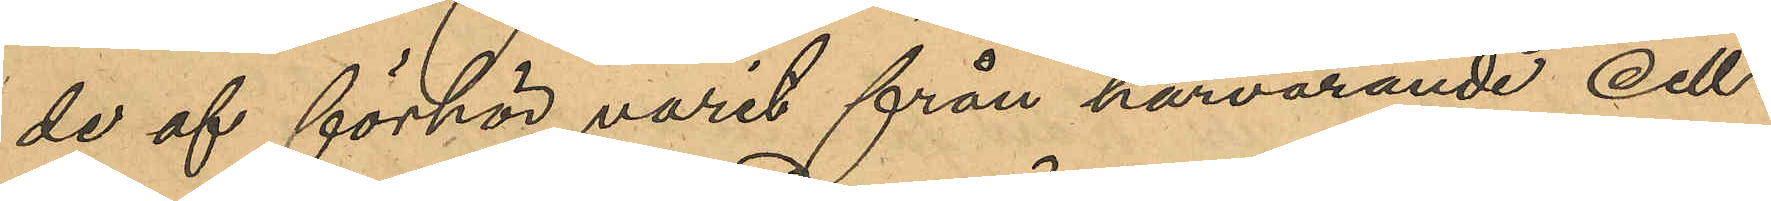de af förhör varit från härvarande cell¬
